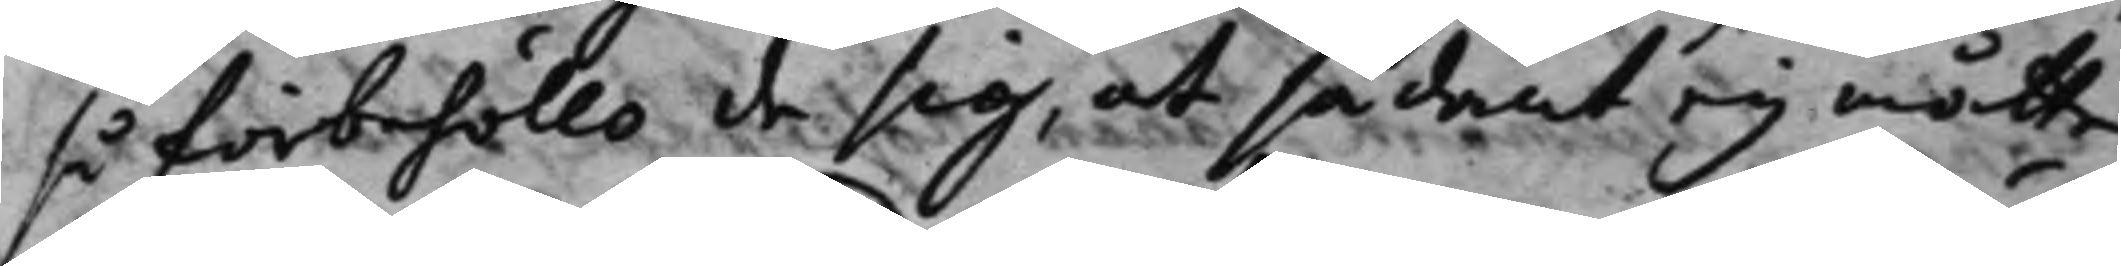så förbehöllo de sig, at sådant ey måtte
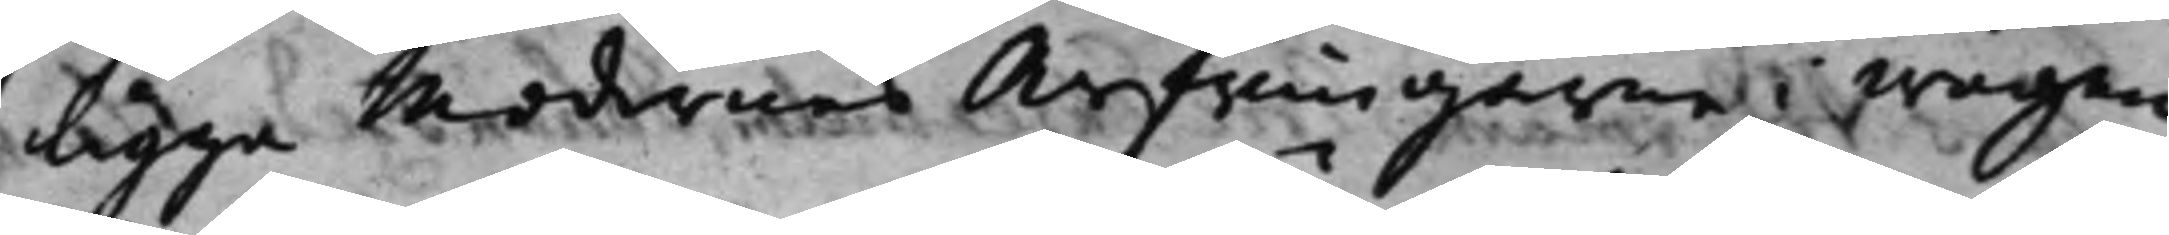ligga Modernes Arfwingarne i wägen
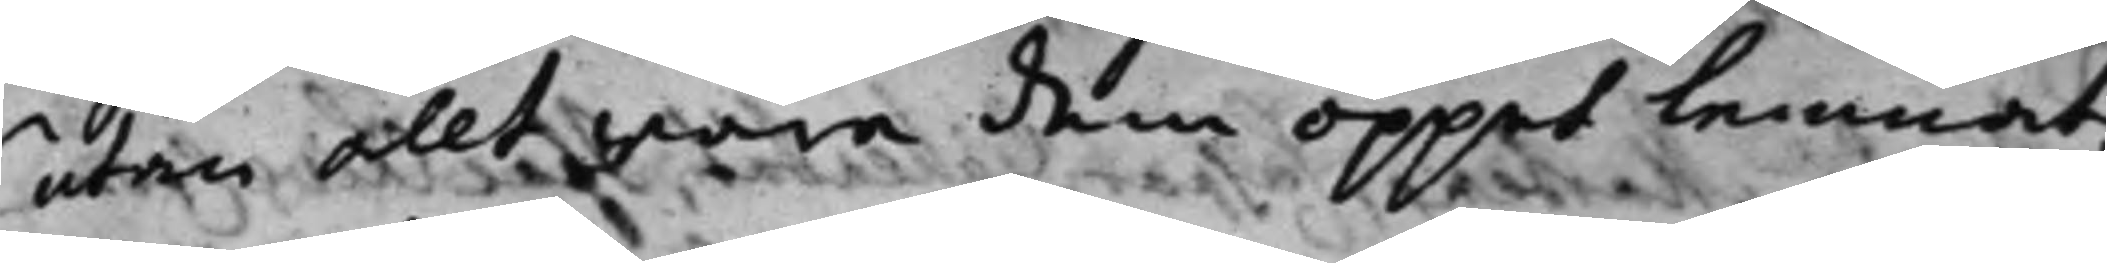utan allt wore dem öppet lemnat.
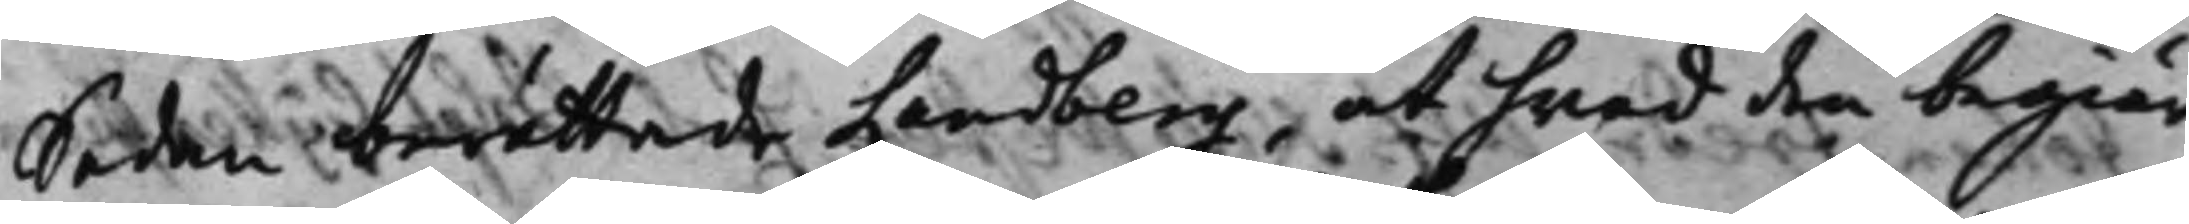Sedan berättade Landberg, at hwad den begiär¬
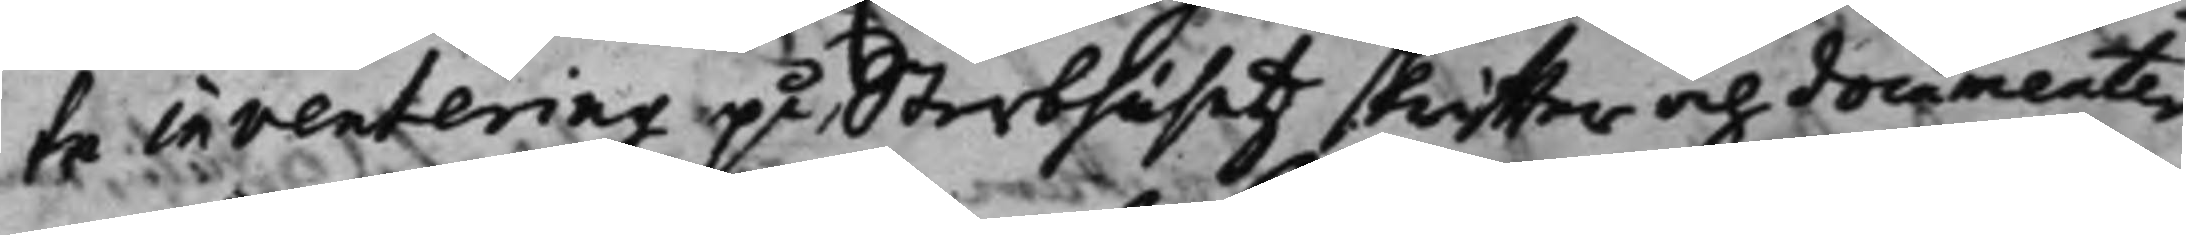te inventering på Sterbhusetz skriffter och documenter
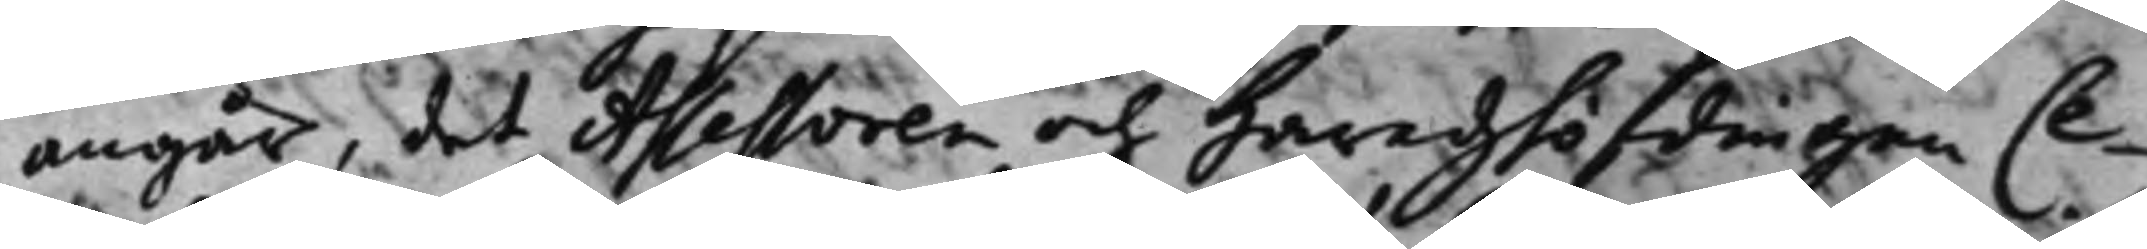angår, det Assessoren och Häradzhöfdingen Ce¬
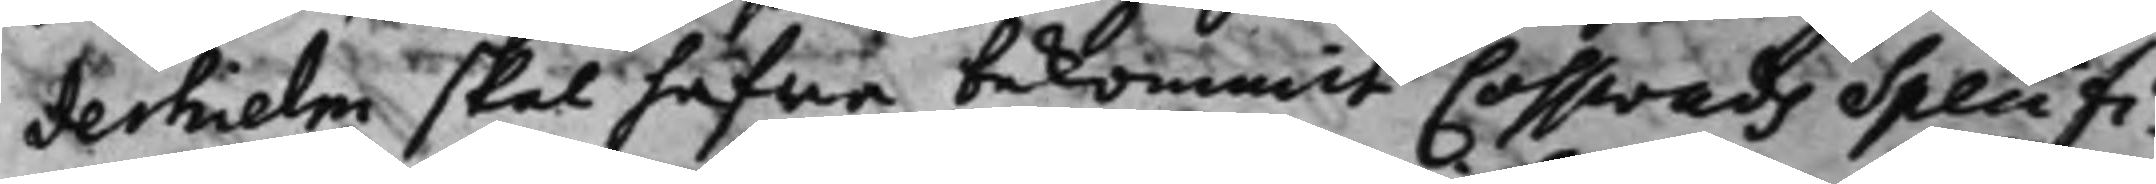derhielm skal hafwa bekommit Cosswads Specifi¬
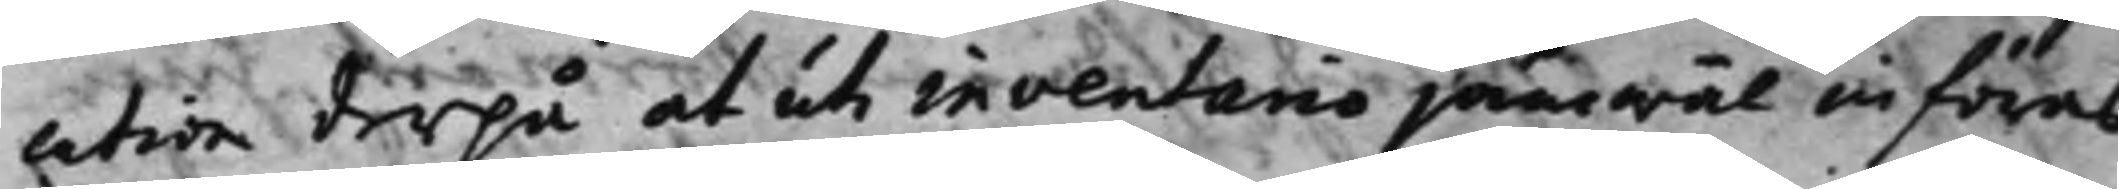cation derpå at uti inventario jämwäl införas
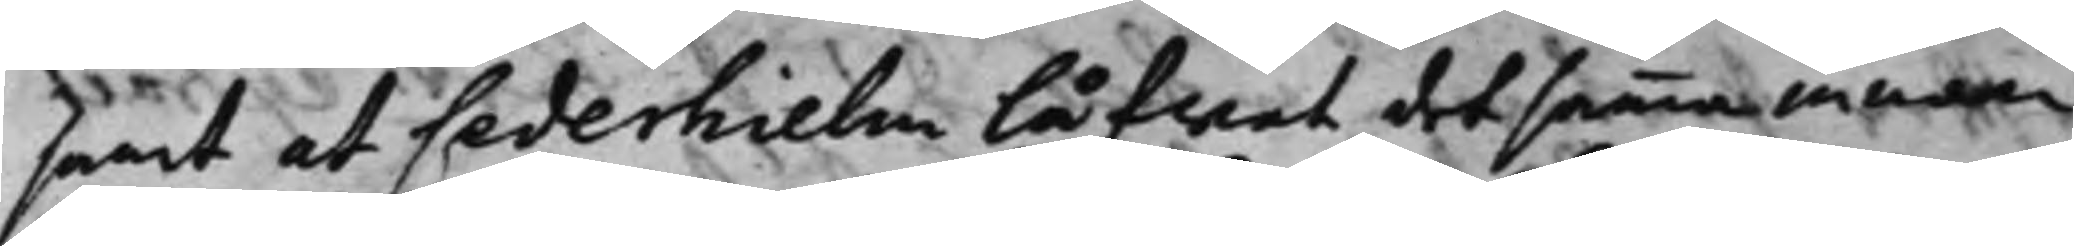samt at Cederhielm låfwat detsamma innom
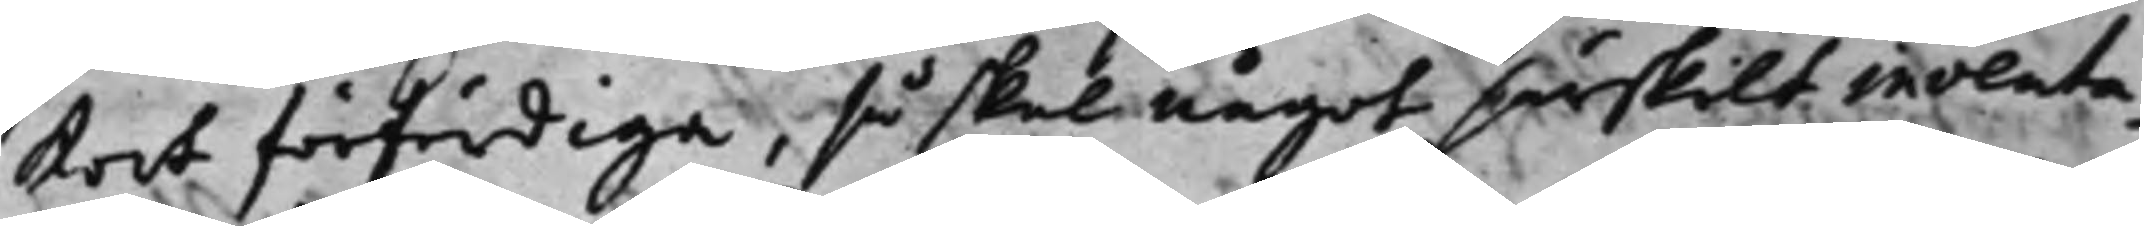kort förfärdiga, så skal något särskilt inventa¬
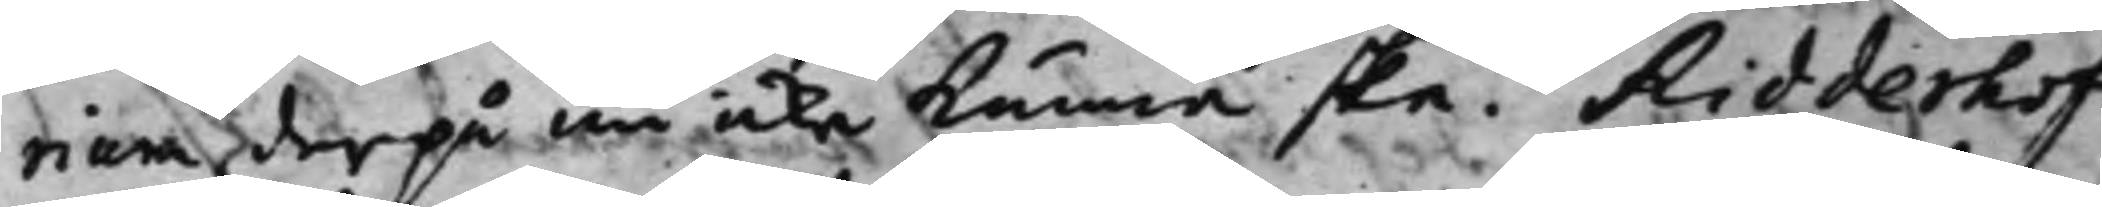rium derpå nu icke kunna ske. Ridderhof
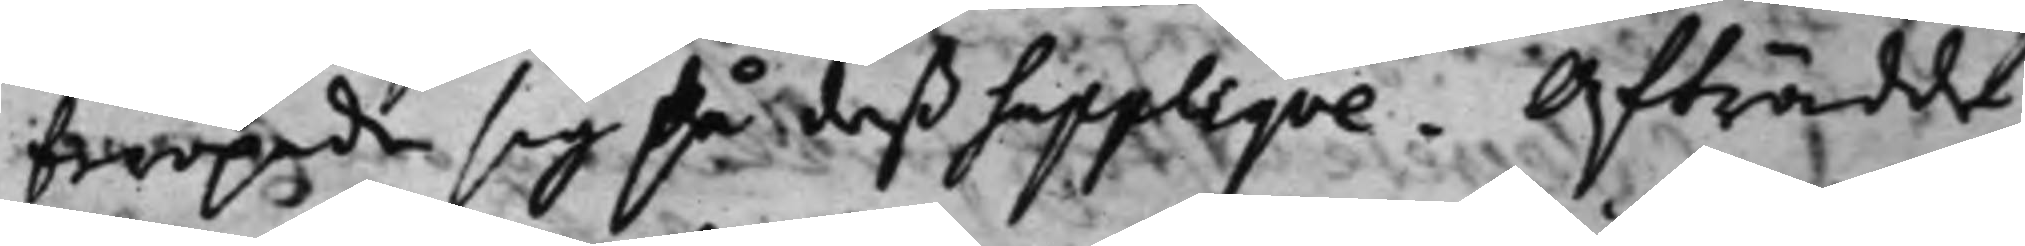beropade sig på deß Suppliqve. Afträdde.
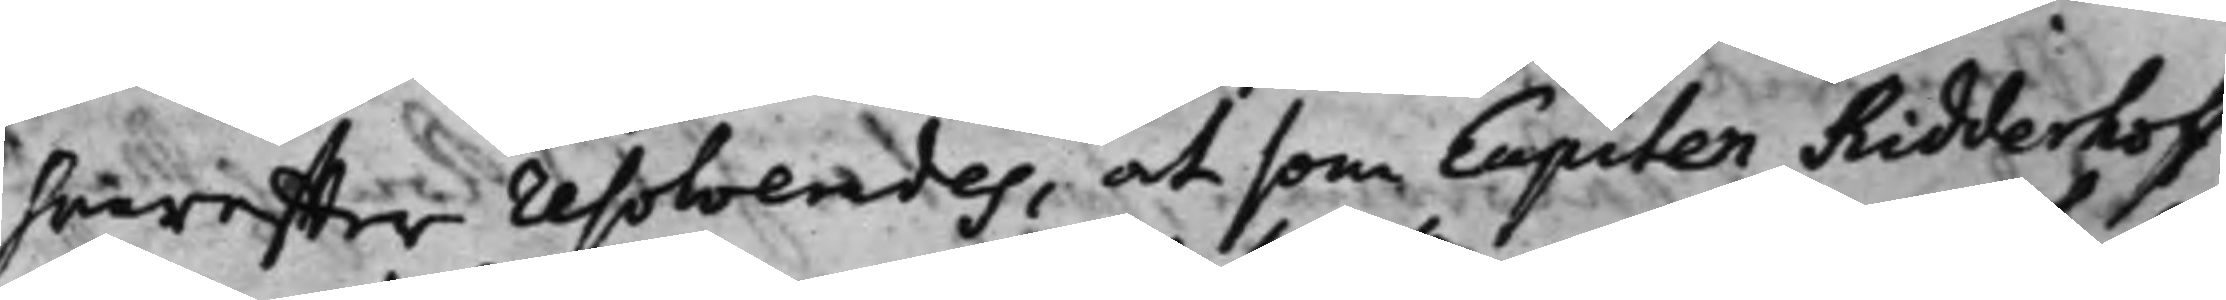hvareffter resolverades, at som Capiten Ridderhoff
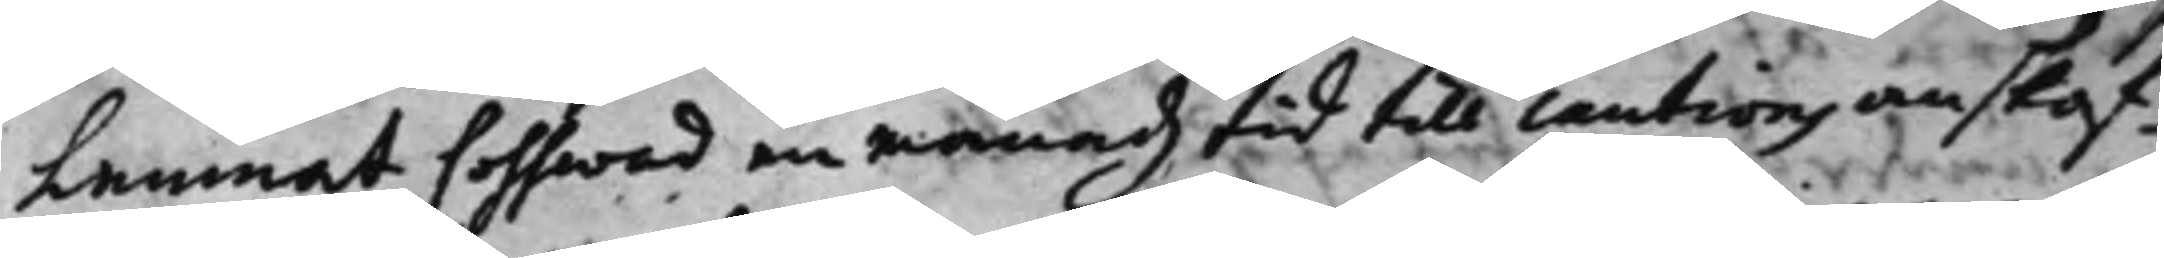Lemnat Cosswad en månadz tid till cautions anskaf¬
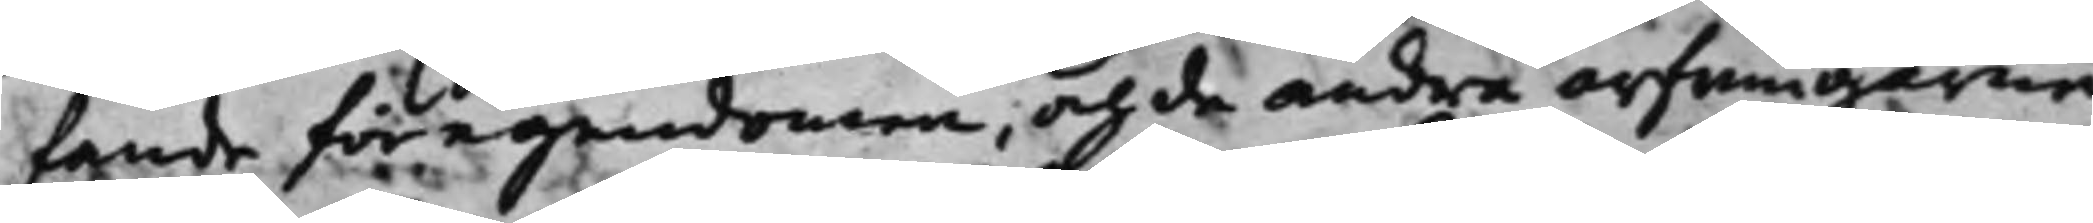fande för egendomen, och de andra arfwingarne
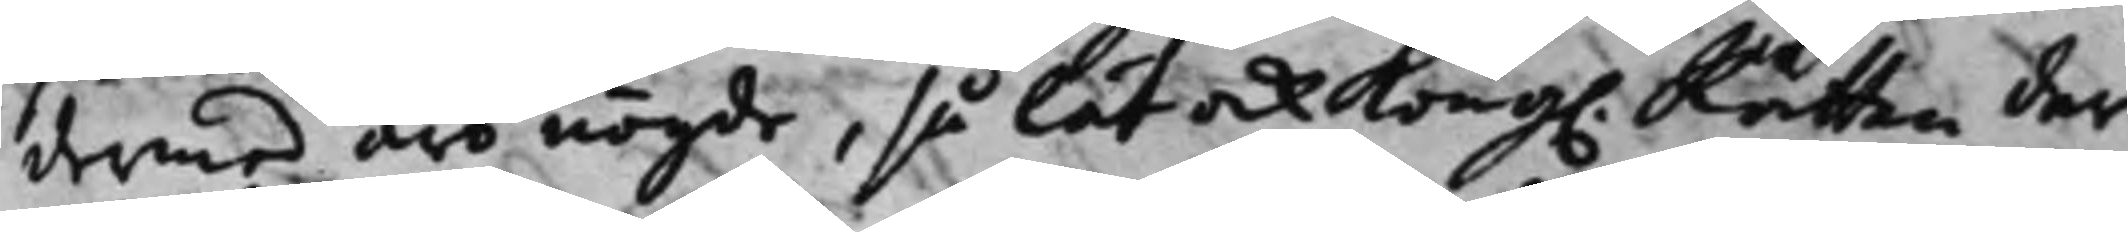dermed äro nögde. så lät ock Kong. Rätten der¬
